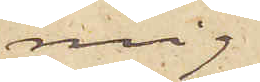mig
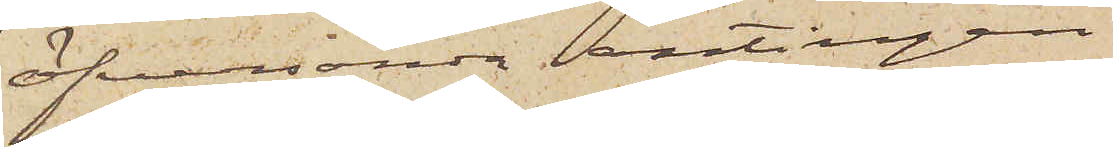öfversända antingen
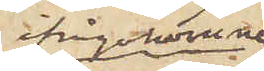ifrågakomne
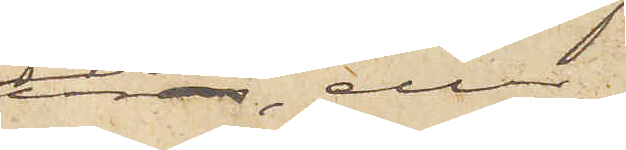uren, eller
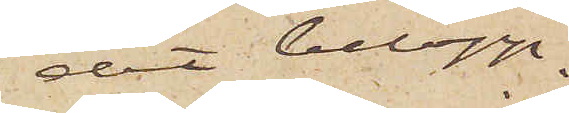det belopp
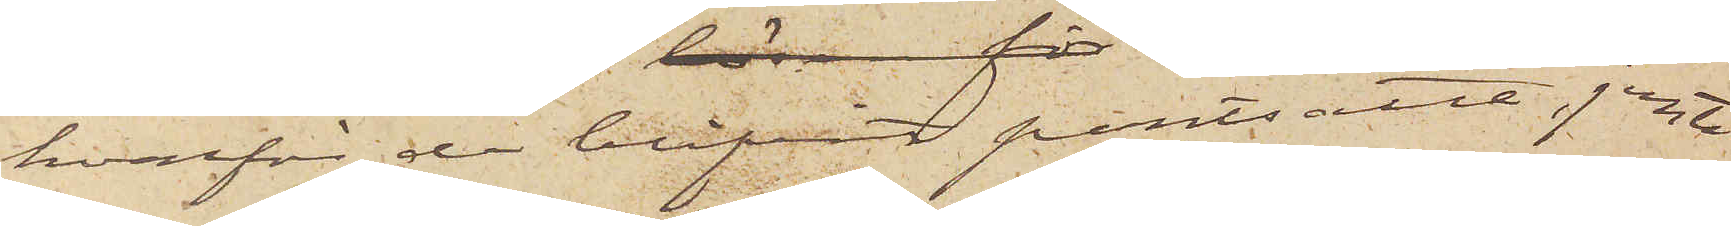hvarför de blifvit pantsatta, jemte
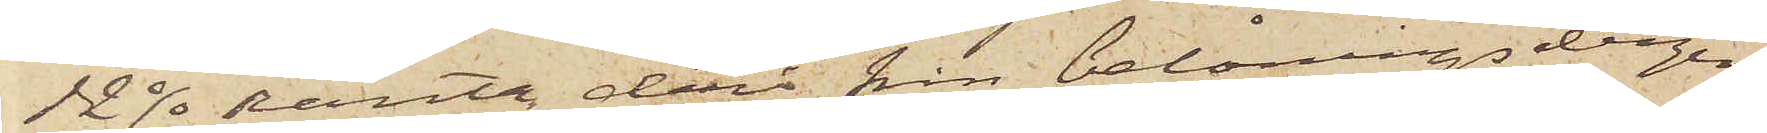12 % ränta derå från belåningsdagen.
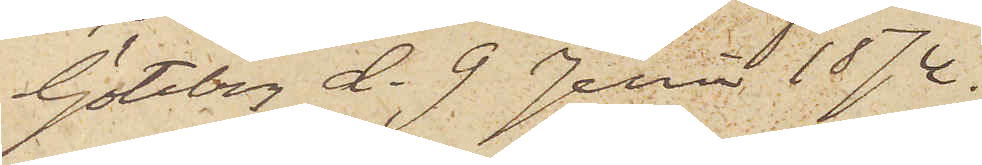Göteborg d. 9. Juni 1874.
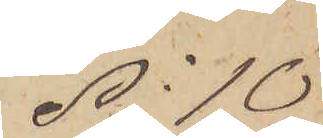No 10
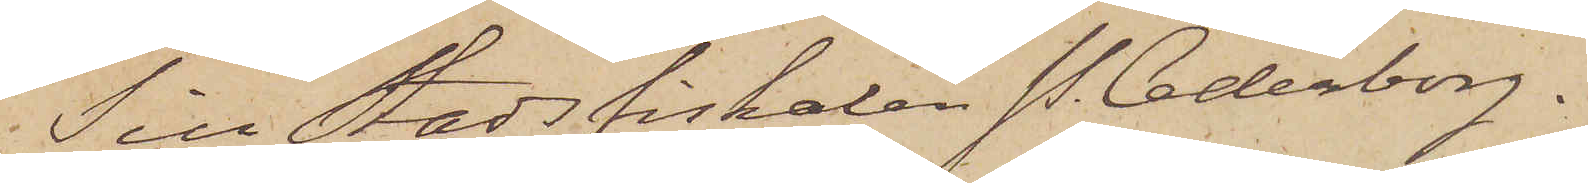Till Stadsfiskalen P. Cederborg.
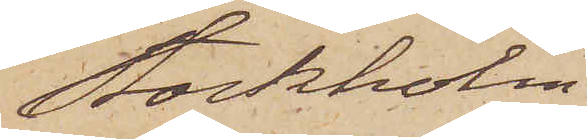Stockholm.
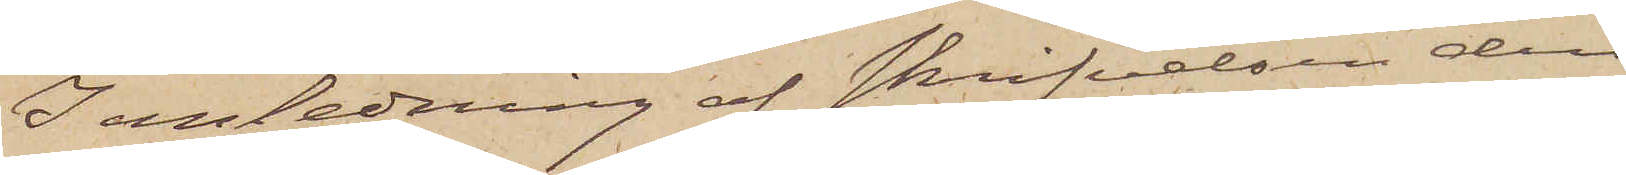I anledning af skrifvelsen den
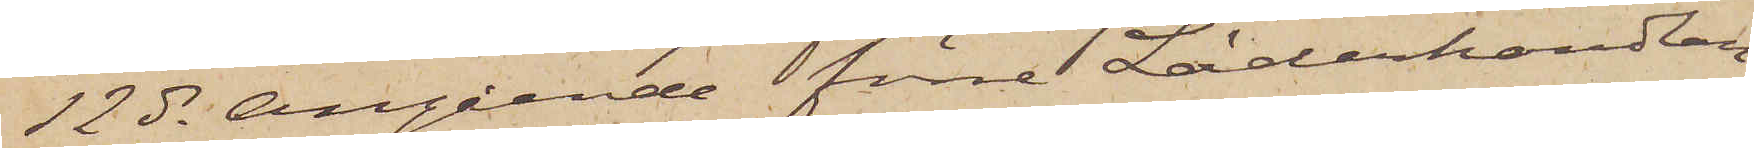12 ds angående förre Läderhandlan¬
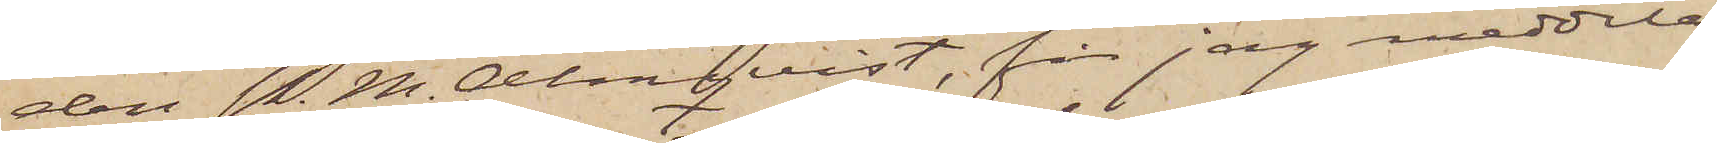den P. M. Almqvist, får jag meddela
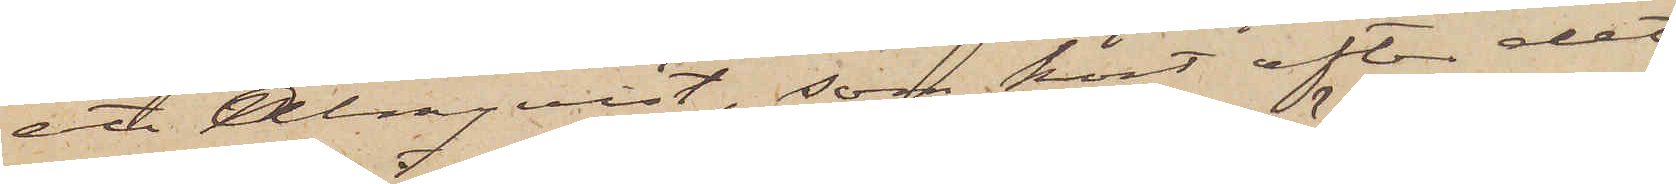att Almqvist, som kort efter det
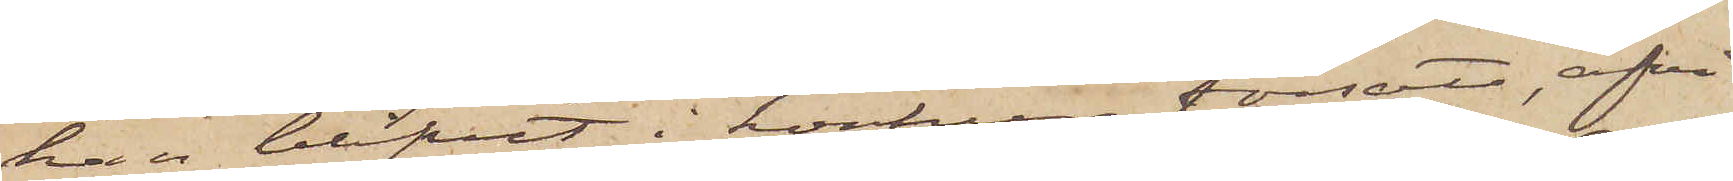han blifvit i konkurs försatt, afvi¬
